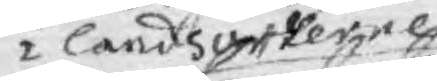i lands orterne
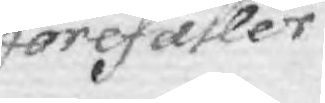förefaller
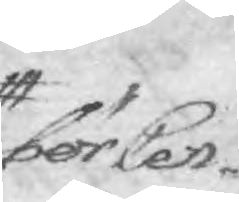bör Cen¬
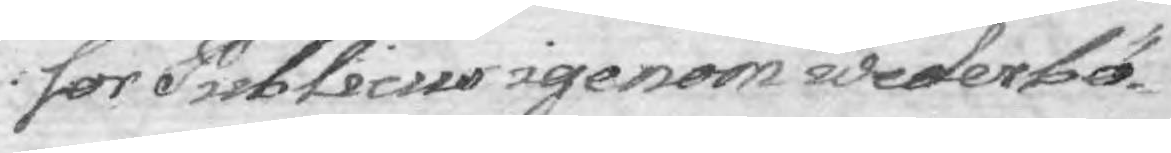sor Publicus igenom wederbör¬
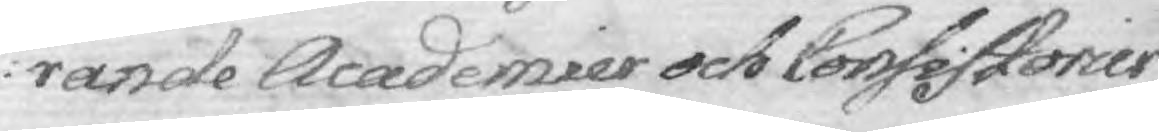rande Academier och Consistorier
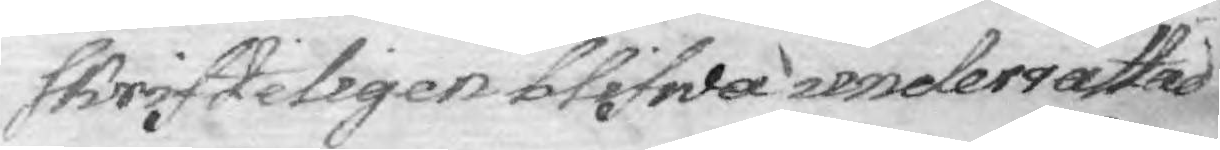skrifteligen blifwa underrättad
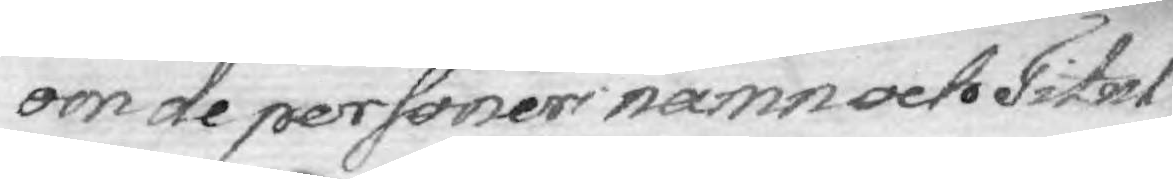om de personers namn och Titul
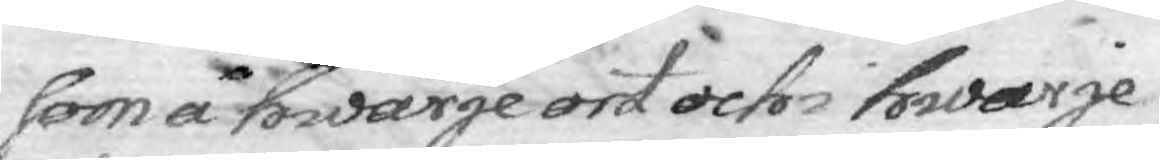som å hwarje ort och i hwarje
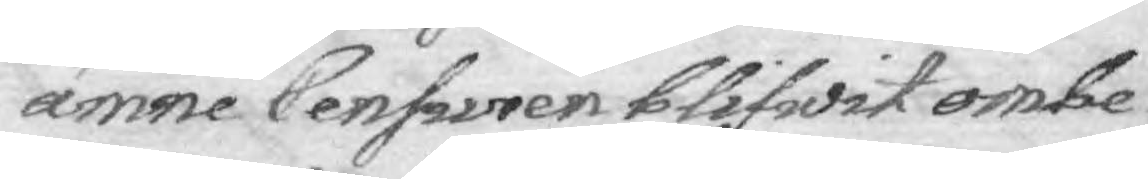ämne Censyren blifwit ombe¬
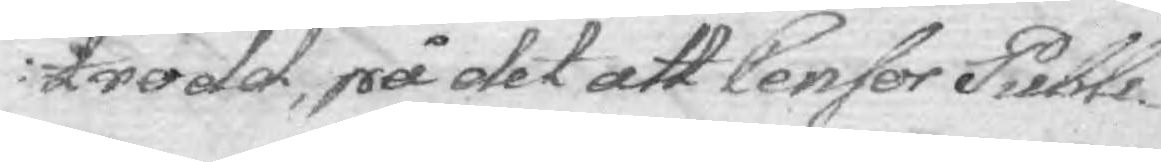trodd, på det att Censor Publi¬
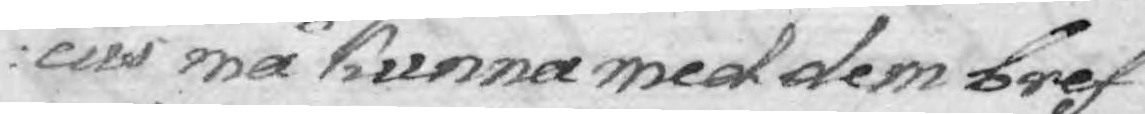cus må kunna med dem bref
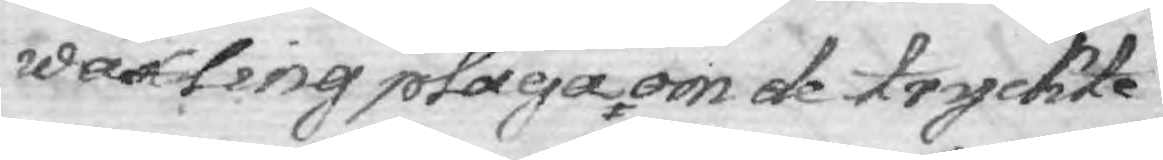wäxling pläga om de tryckte
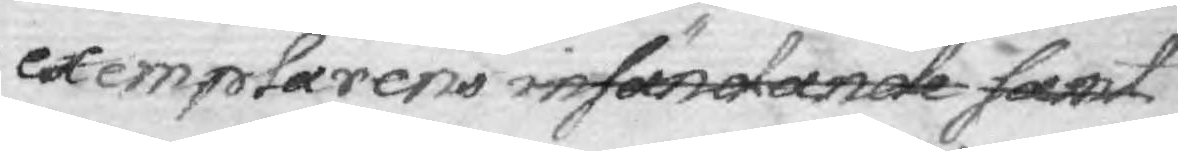exemplarens insändande samt
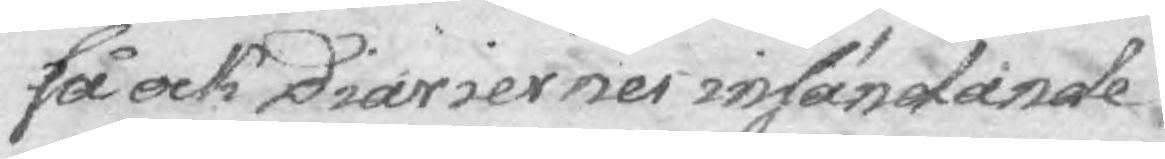så ock Diariernes införande
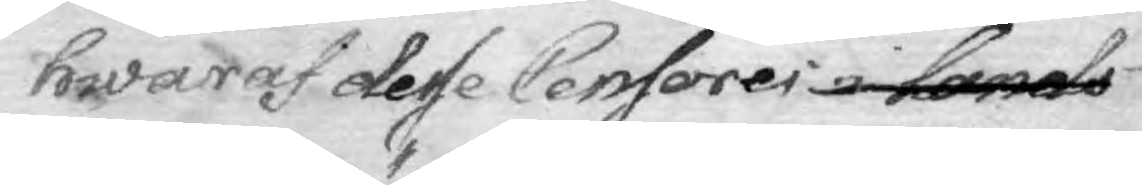hwaraf desse Censores i lands
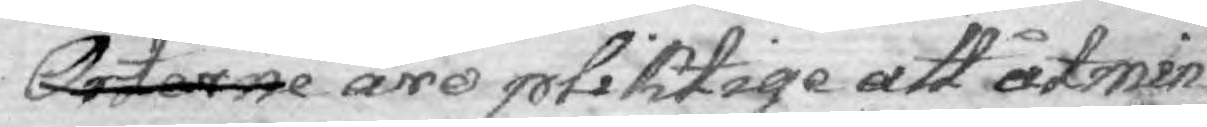Orterne äro pliktige att åtmin¬
